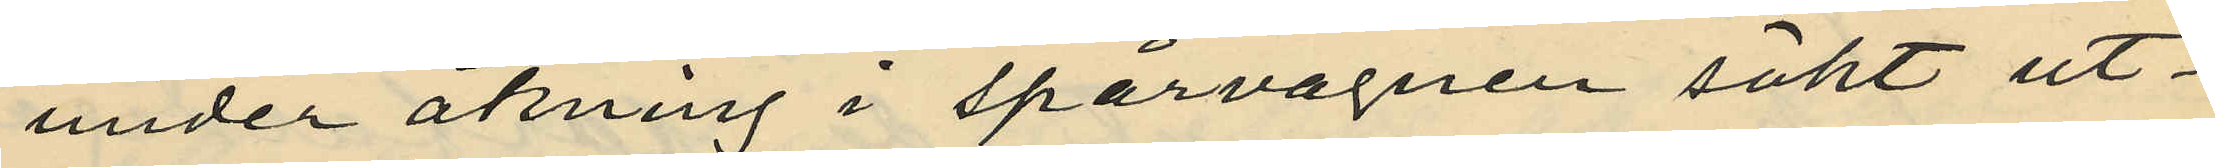under åkning å spårvagnen sökt ut¬
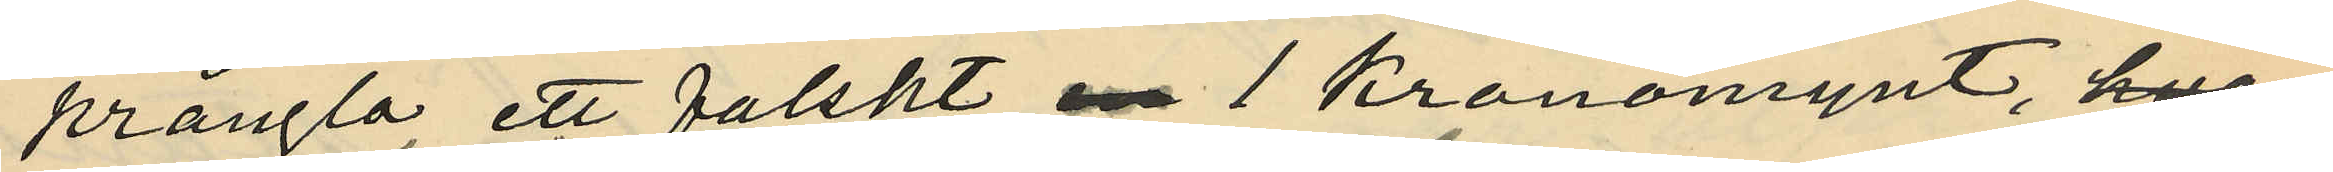prångla ett falskt en 1 kronomynt, 
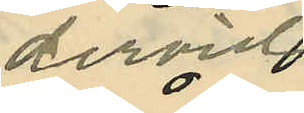dervid
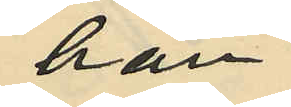han
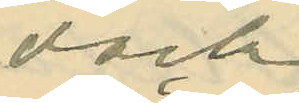dock
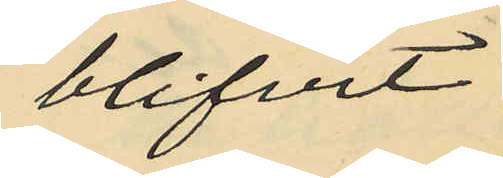blifvit
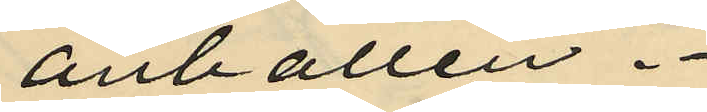anhållen.
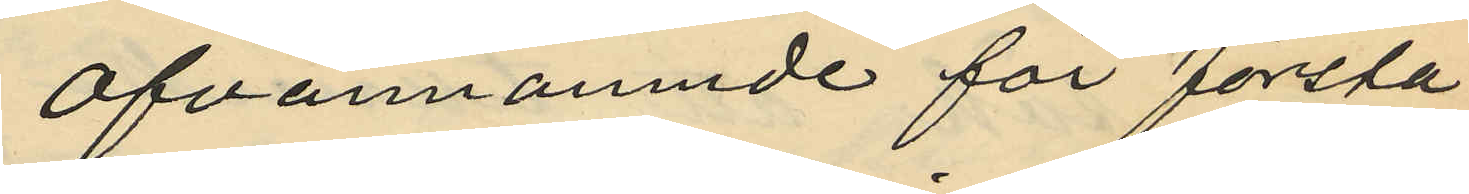Ofvannämnde för första
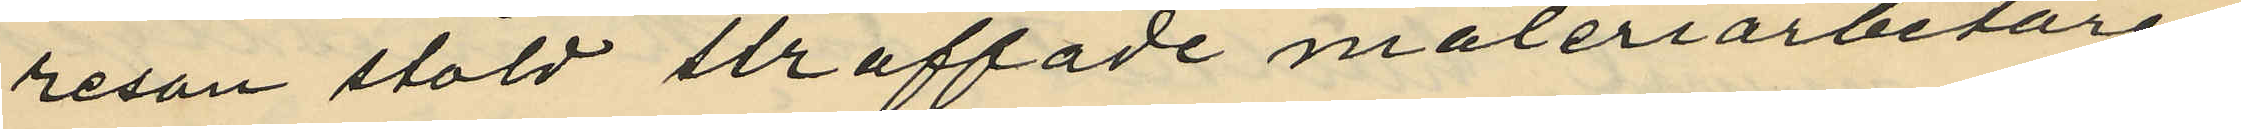resan stöld straffade måleriarbetaren
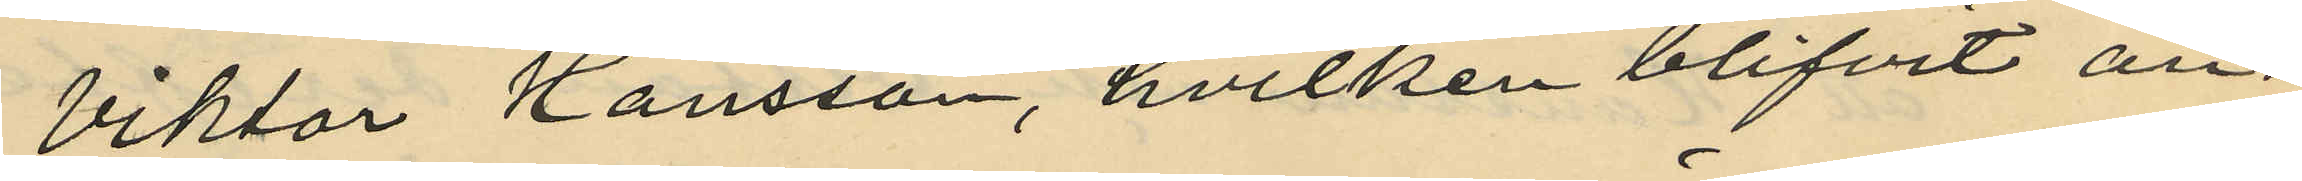Viktor Hansson, hvilken blifvit an¬
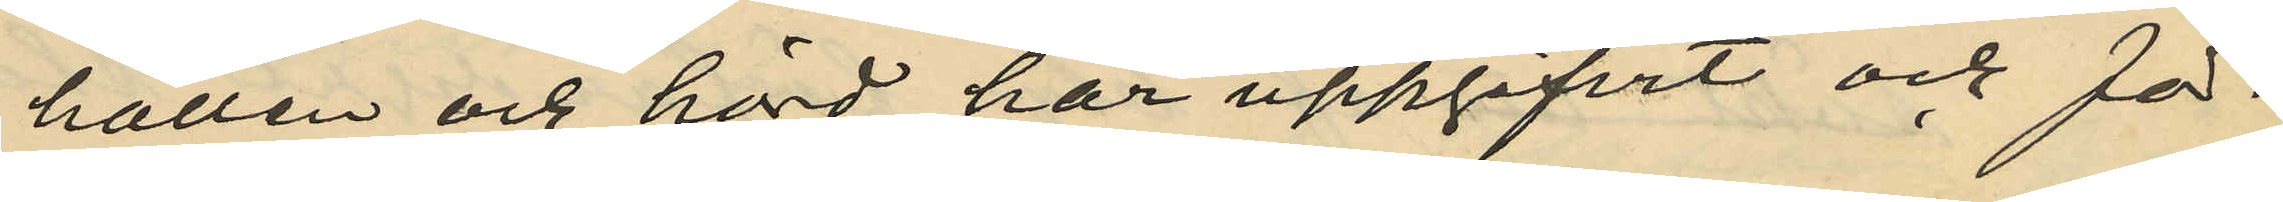hållen och hörd, har uppgifvit och för¬
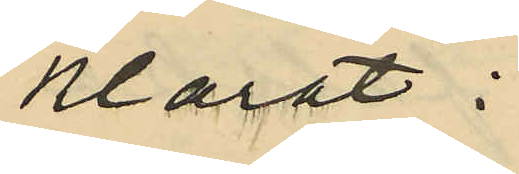klarat:
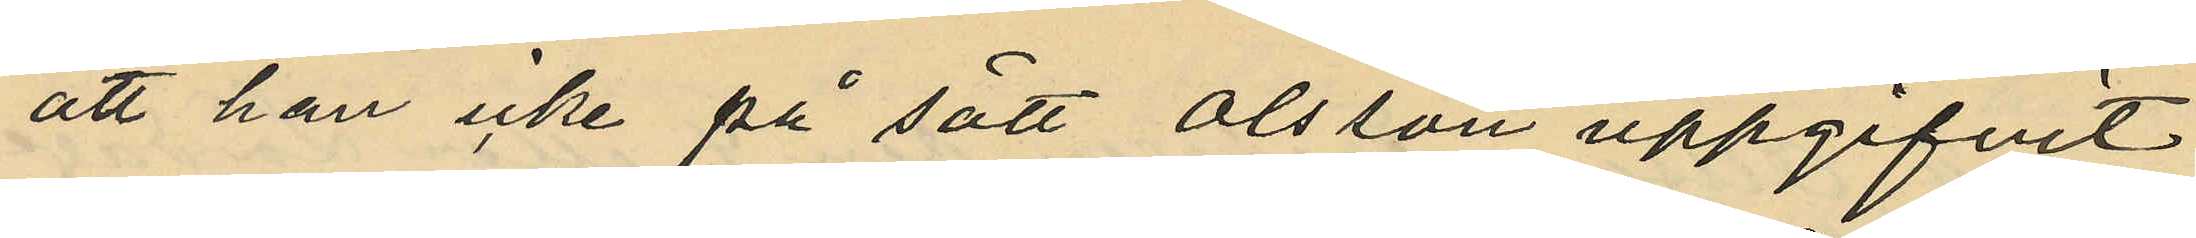att han icke på sätt Olsson uppgifvit
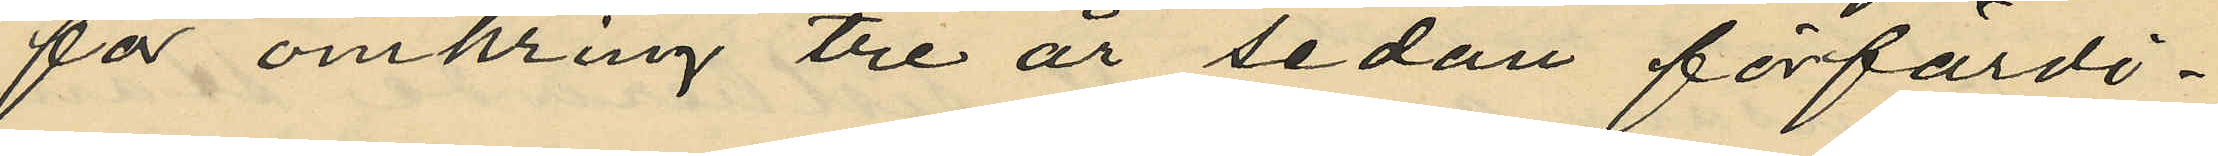för omkring tre år sedan förfärdi¬
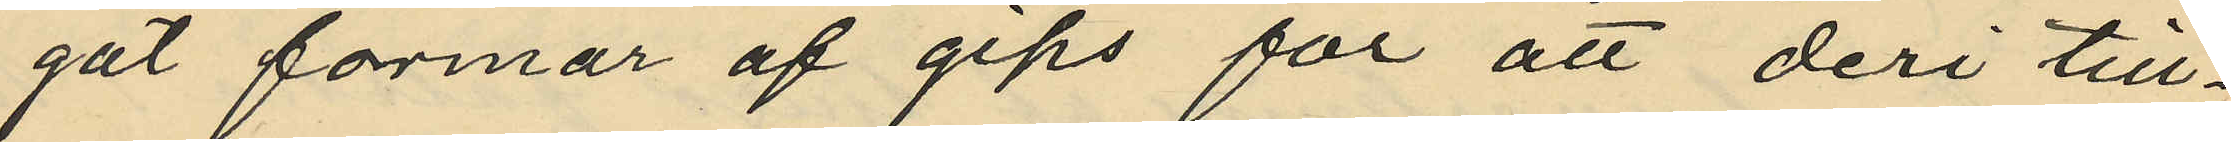gat formar af gips för att deri till¬
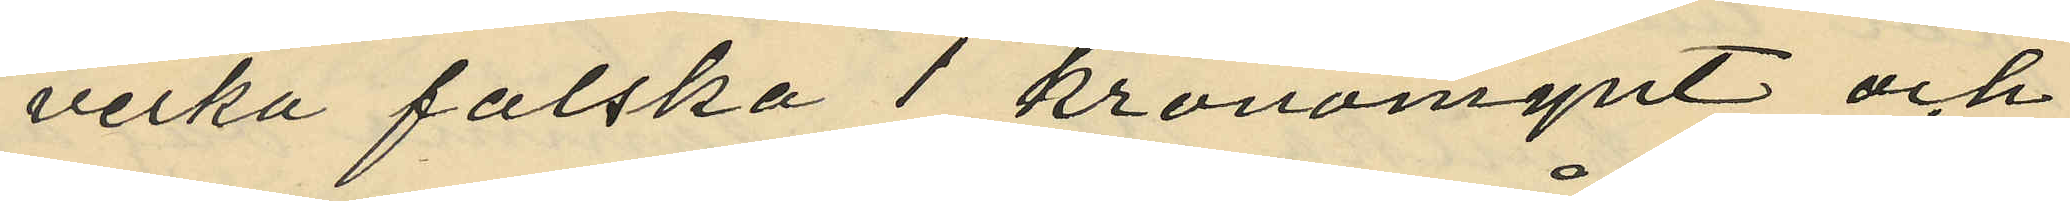verka falska 1 kronomynt och
